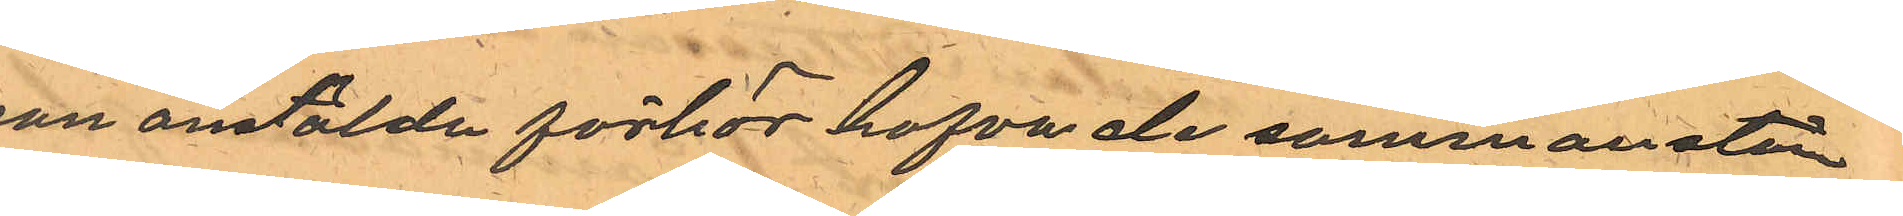son anstälda förhör hafva de sammanstäm¬
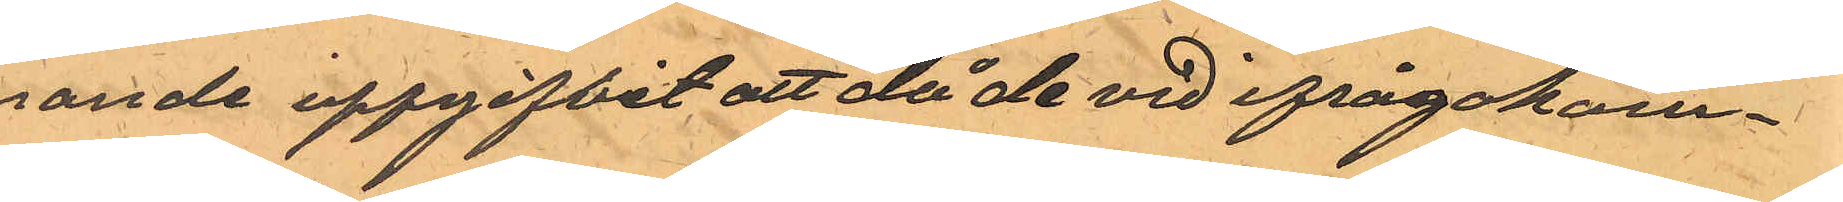mande uppgifvit att då de vid ifrågakom¬
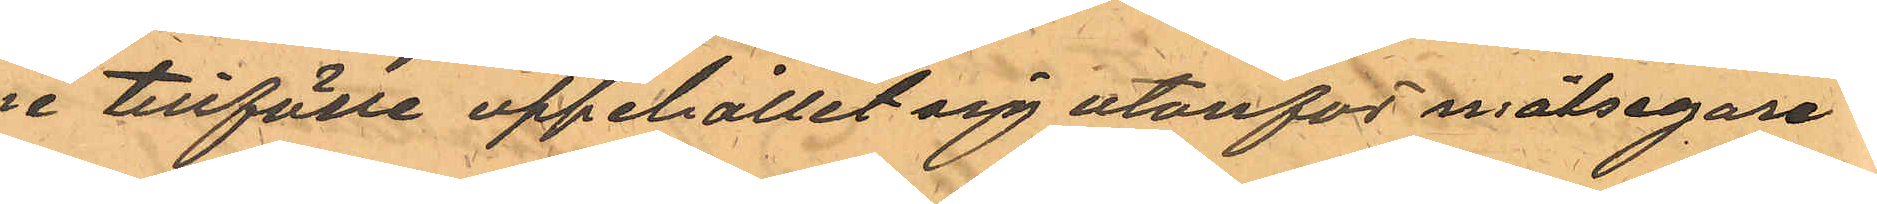ne tillfälle uppehållit sig utanför målsegare
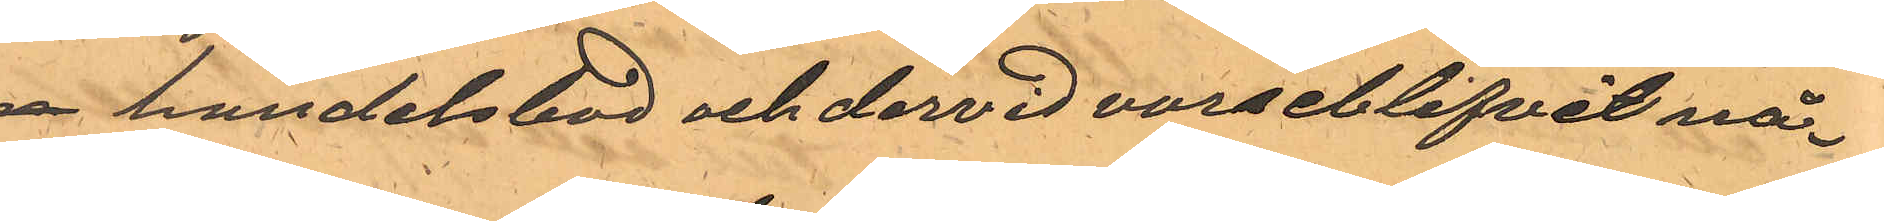ns handelsbod och dervid varseblifvit nå¬
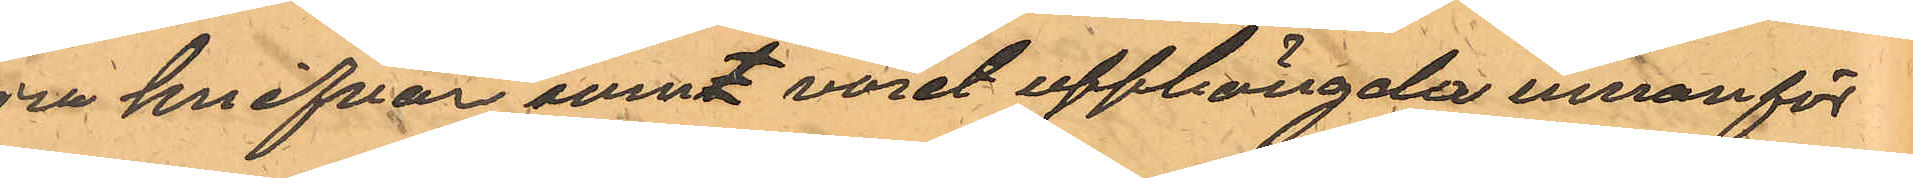gra knifvar somt varit upphängde innanför
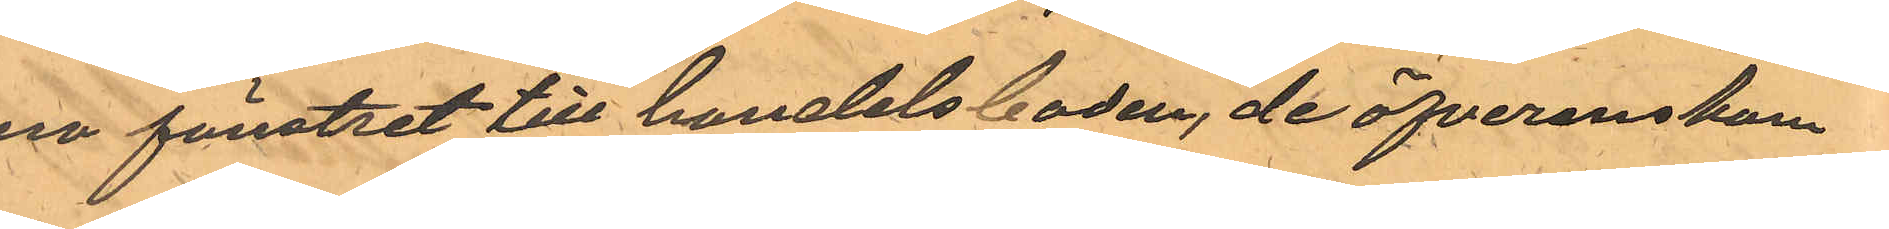ena fönstret till handelsboden, de öfverenskom¬
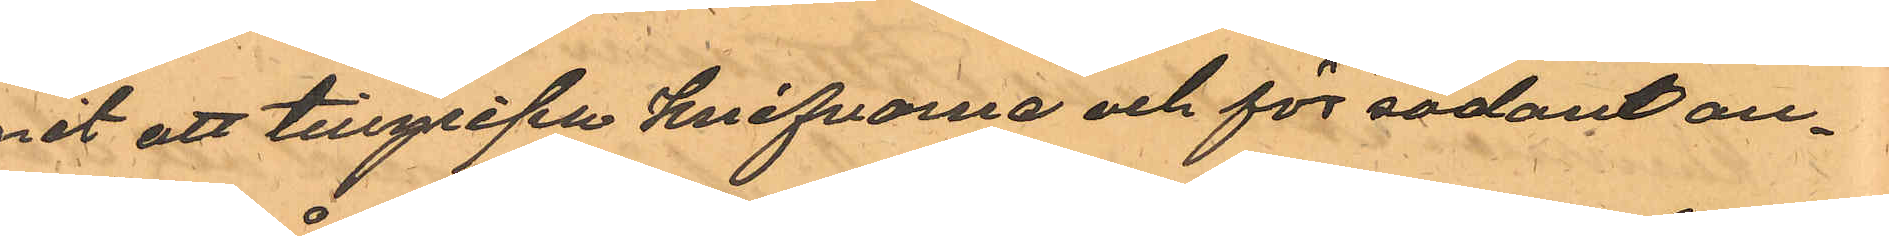mit att tillgripa knifvarne och för sådant an¬
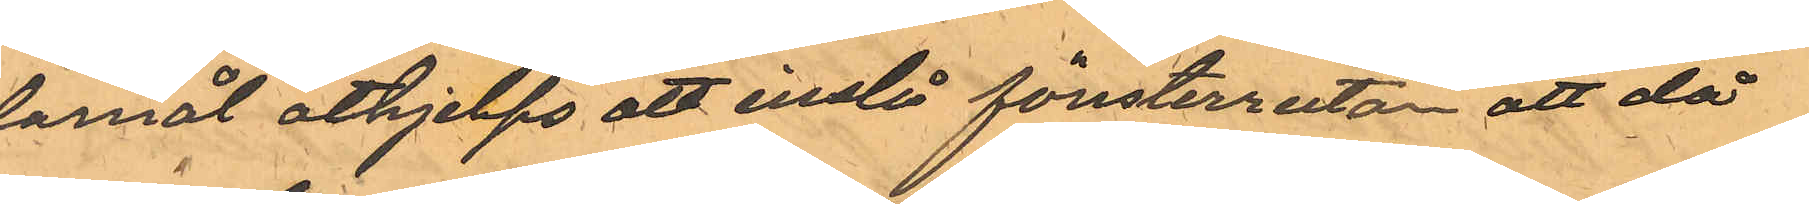damål åthjelps att inslå fönsterrutan att då
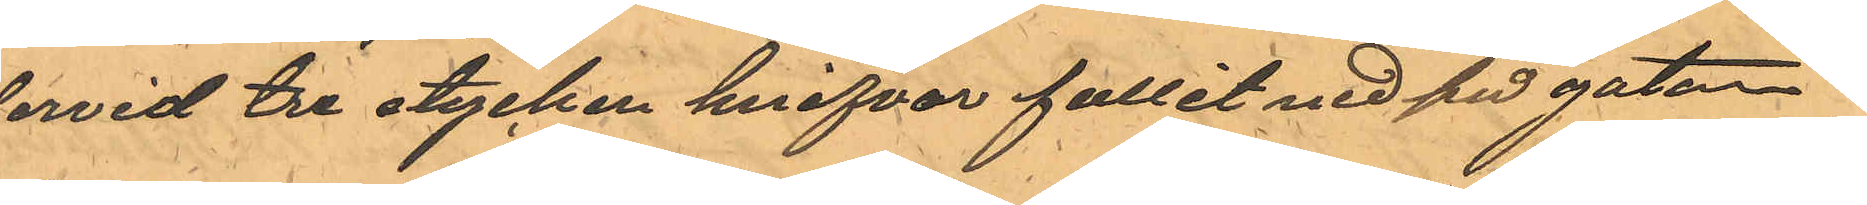dervid tre stycken knifvar fallit ned på gatan
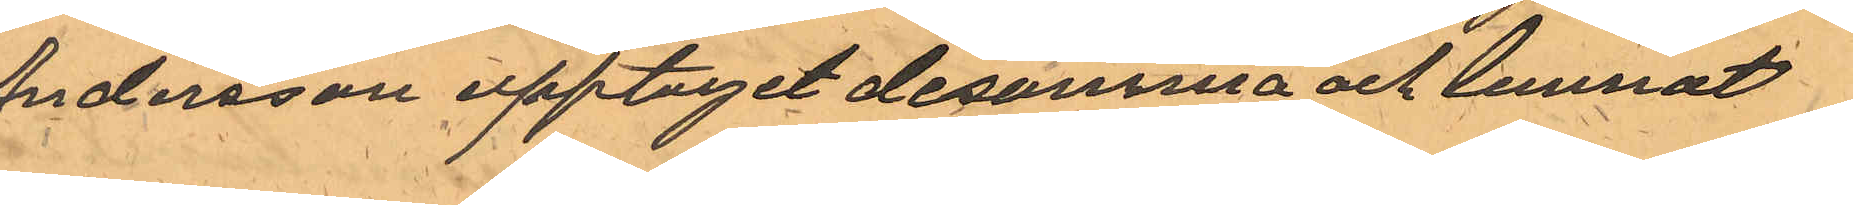Andersson upptaget desamma och lemnat
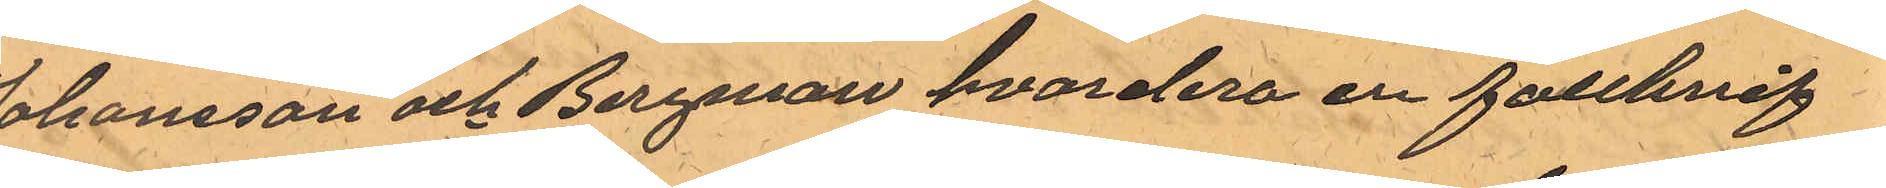Johansson och Bergman hvardera en fällknif
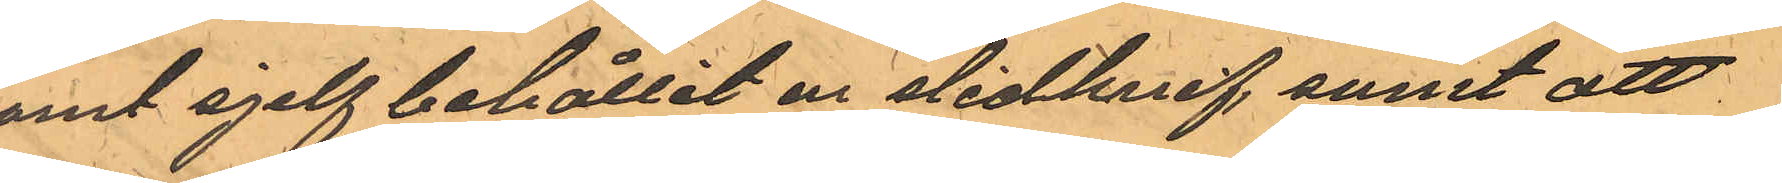samt sjelf behållit en slidknif, samt att
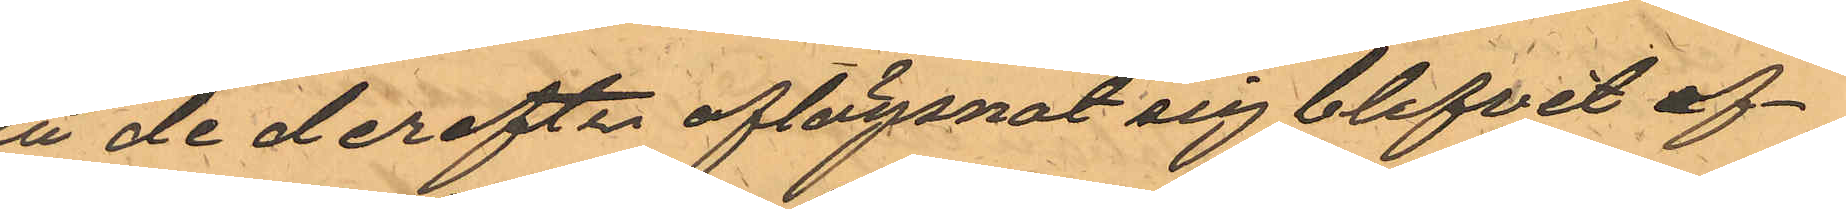då de derefter aflägsnat sig blifvit ef¬
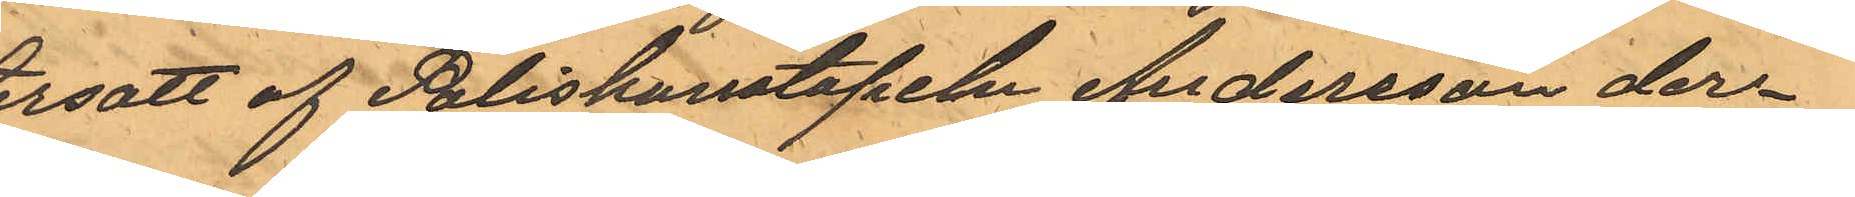tersatt af Poliskonstapeln Andersson der¬
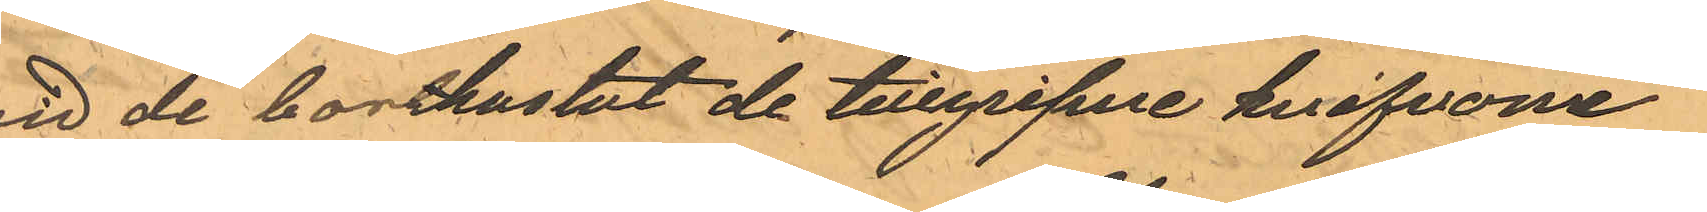vid de bortkastat de tillgripne knifvarne
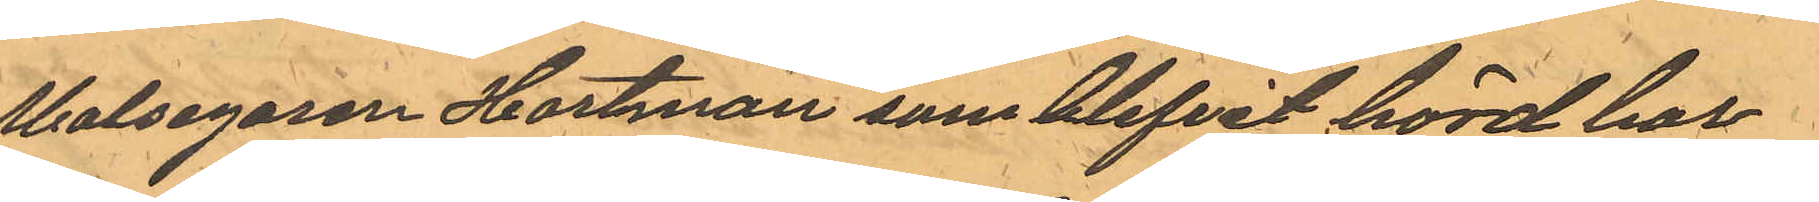Malsegaren Hartman som blifvit hörd har
